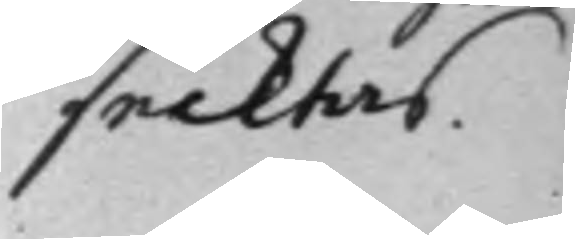säcktas.
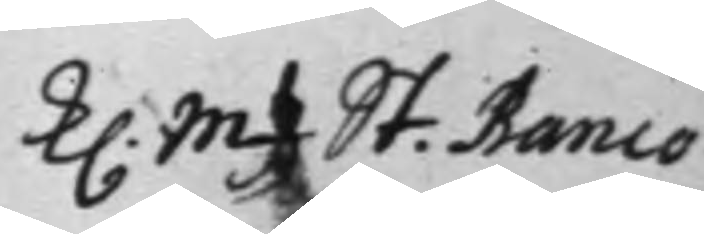K. Mtz St. Banco
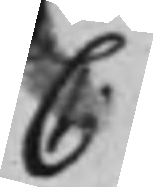C.
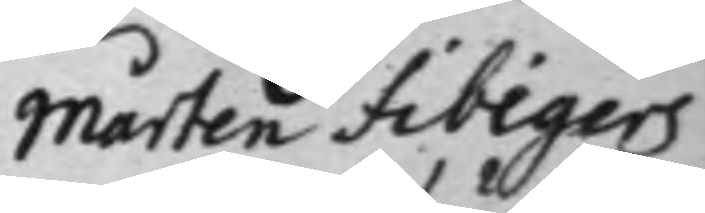Mårten Fibigers
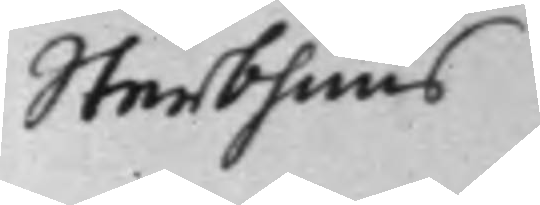Sterbhuus
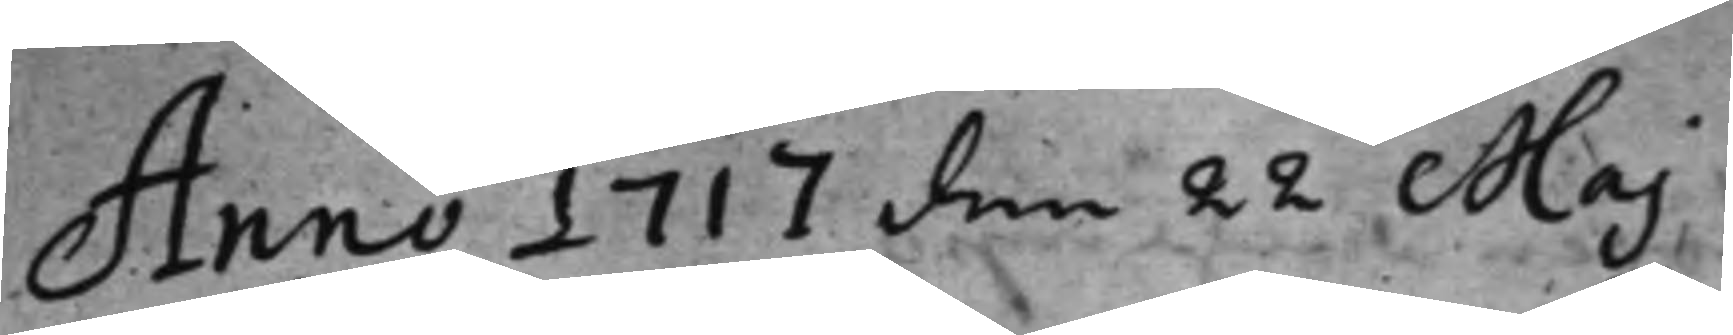Anno 1717 den 22 Maj
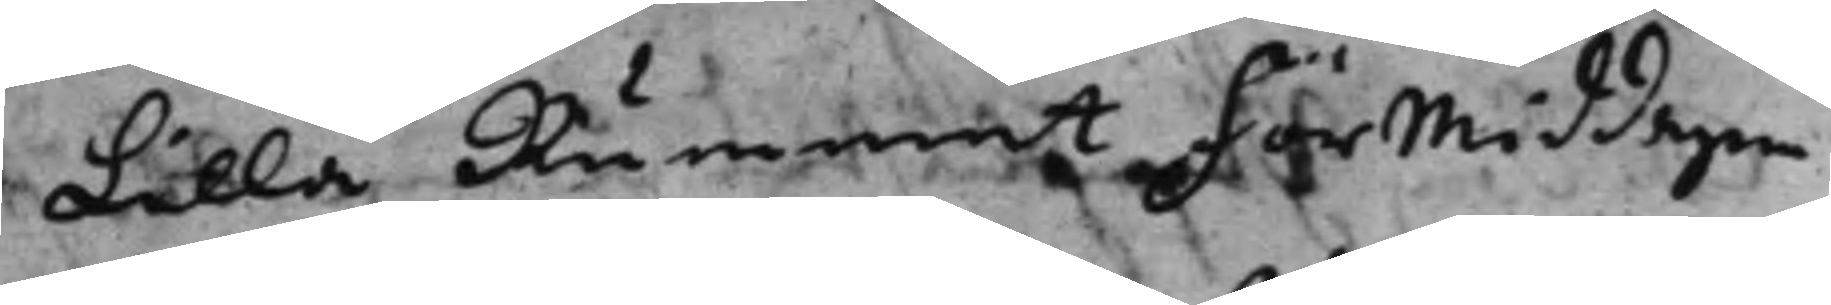Lilla Rummet förmiddagen
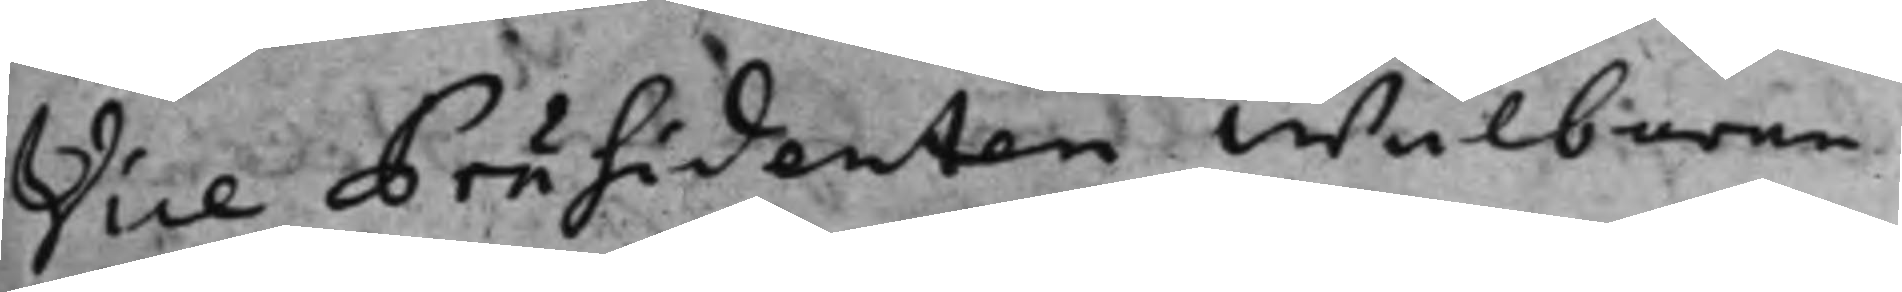Vice Präsidenten Wälborne
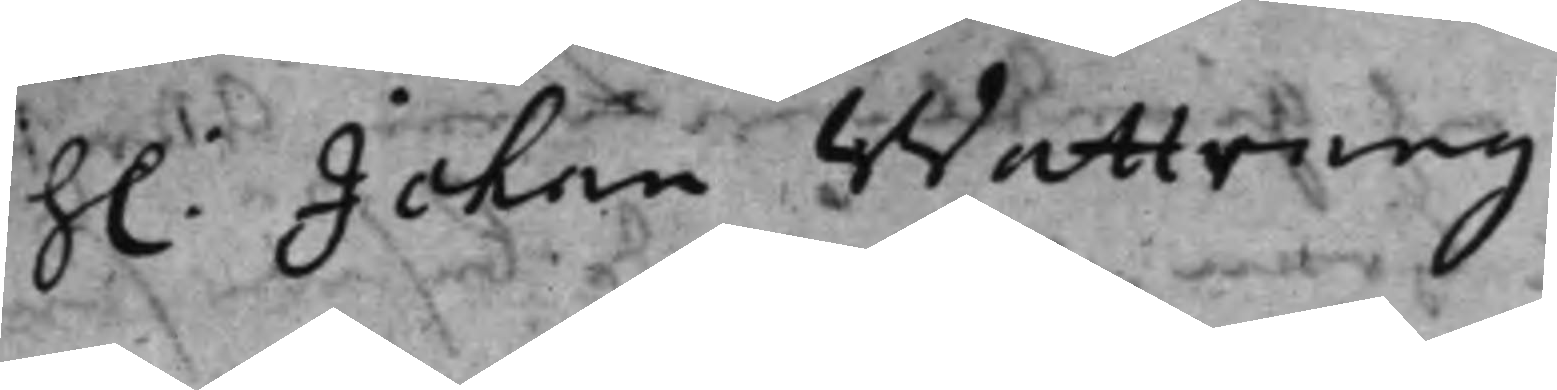h.: Johan Wattrang
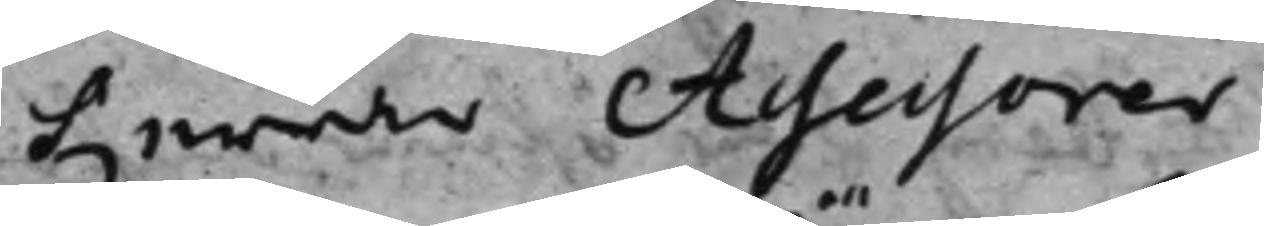herrar Assessorer
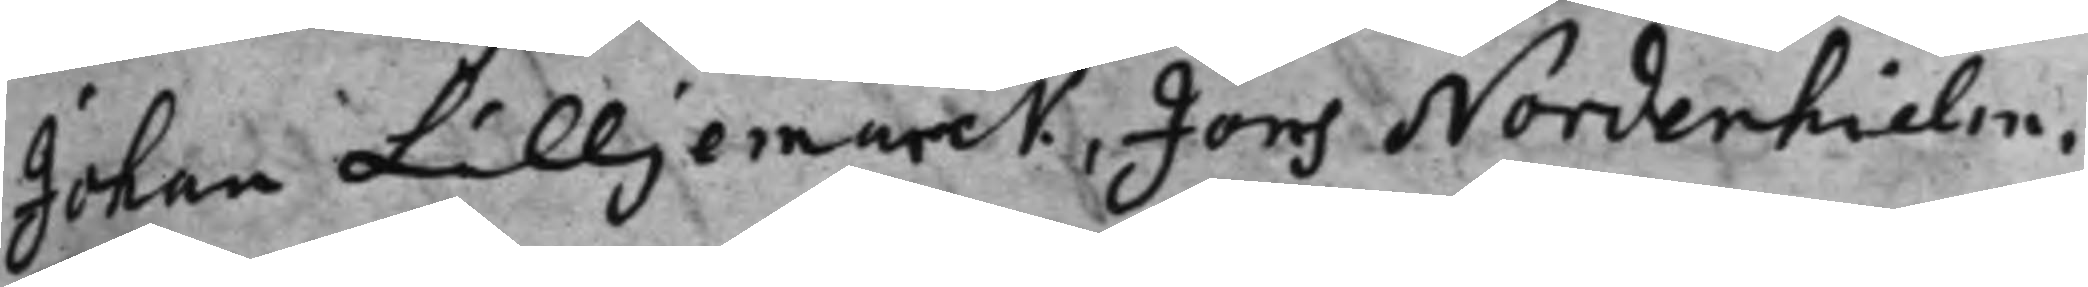Johan Lilljemarck, Jöns Nordenhielm,
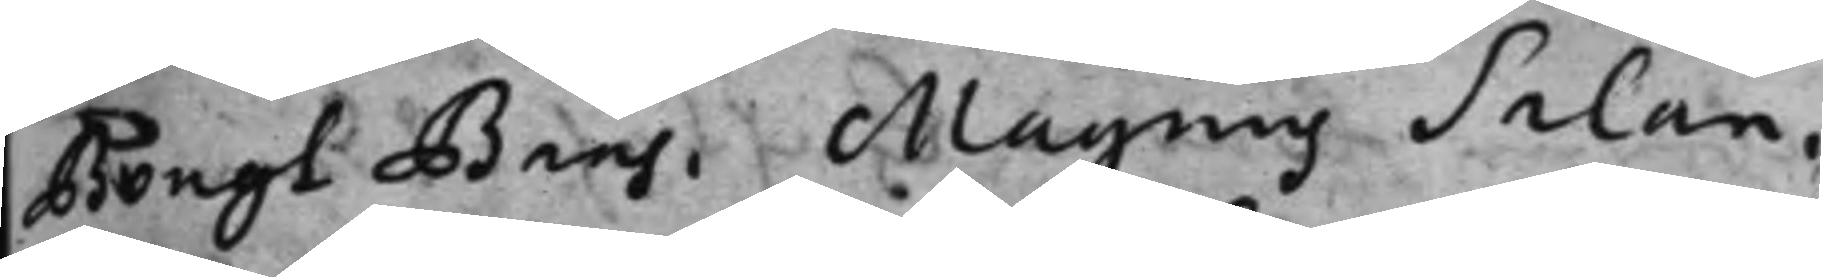Bengt Baas, Magnus Salan,
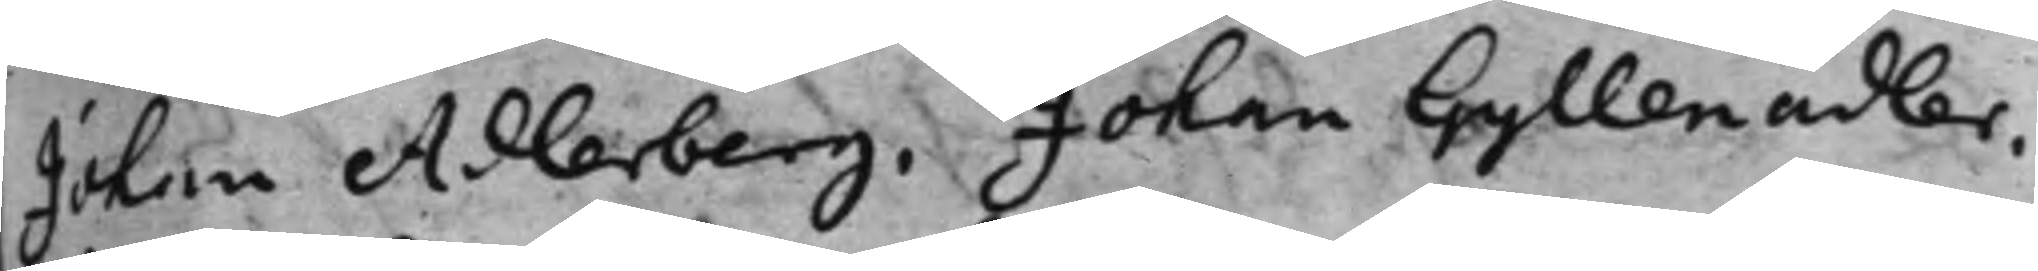Johan Adlerberg, Johan Gyllenadler,
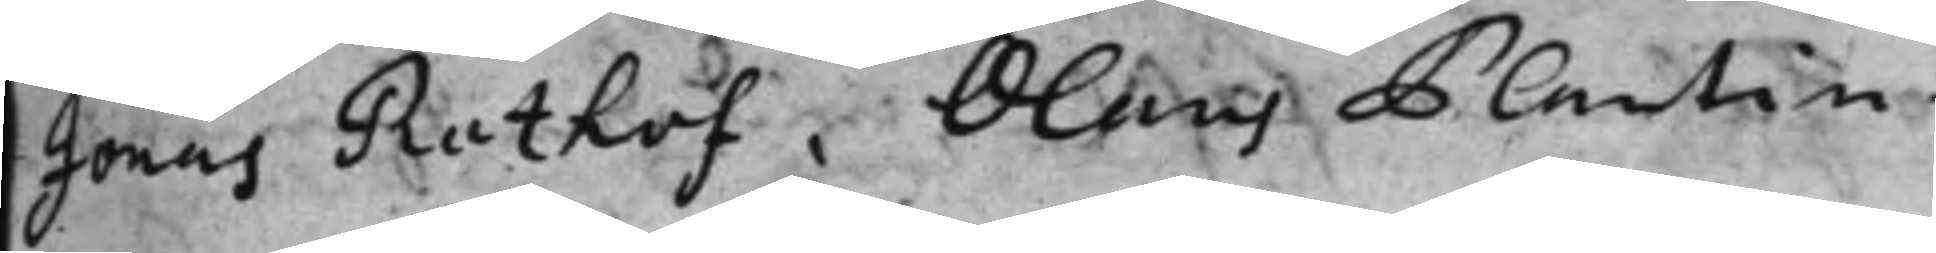Jonas Rothof, Olaus Plantin
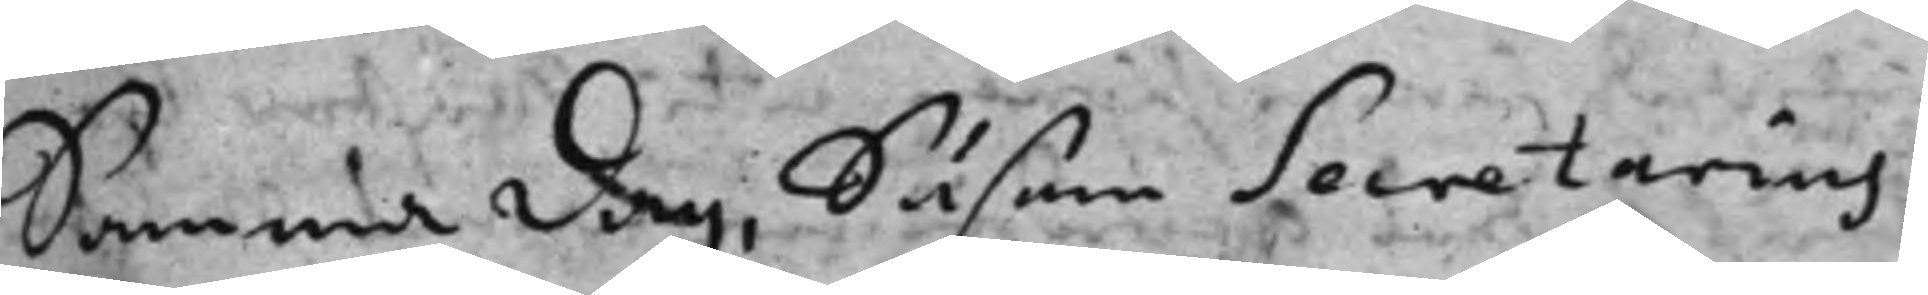Samma dag, Såsom Secretarius
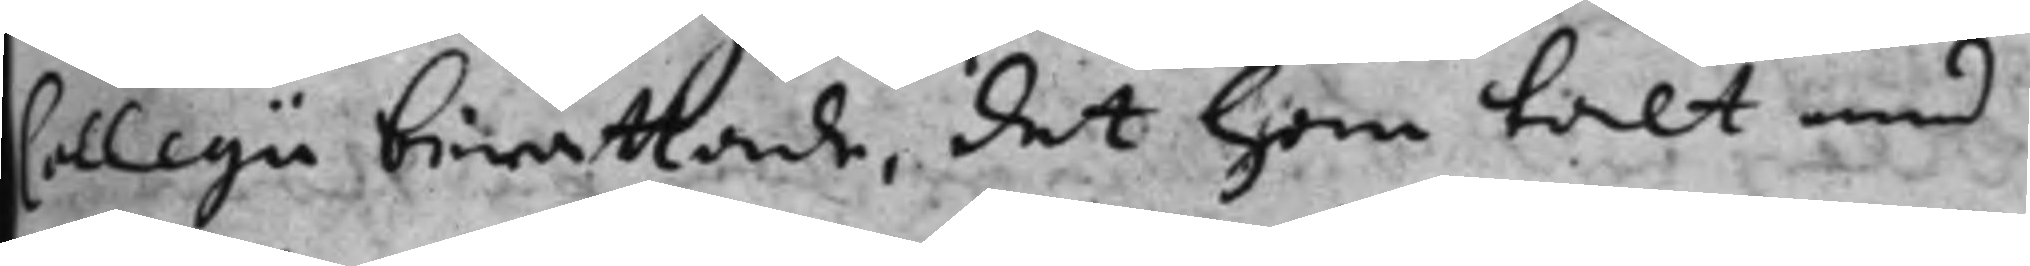Collegii berättade, det han talt med
